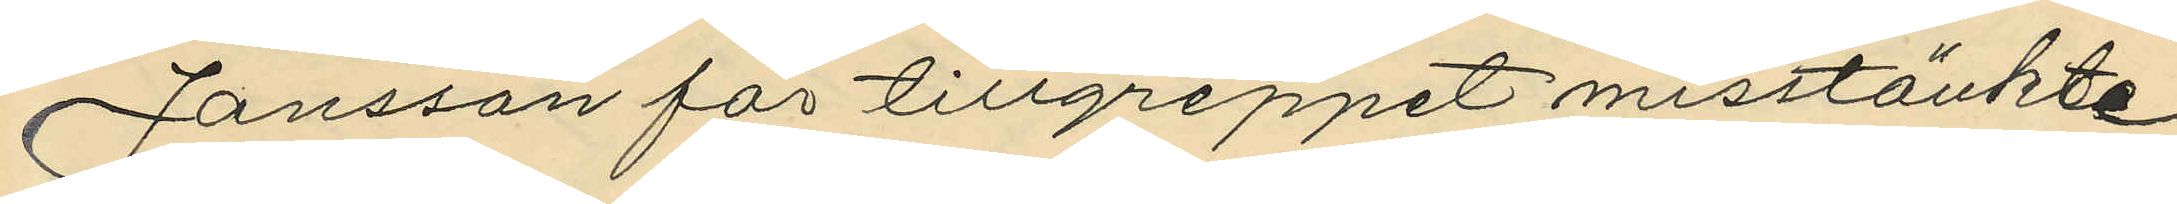Jansson för tillgreppet misstänkte
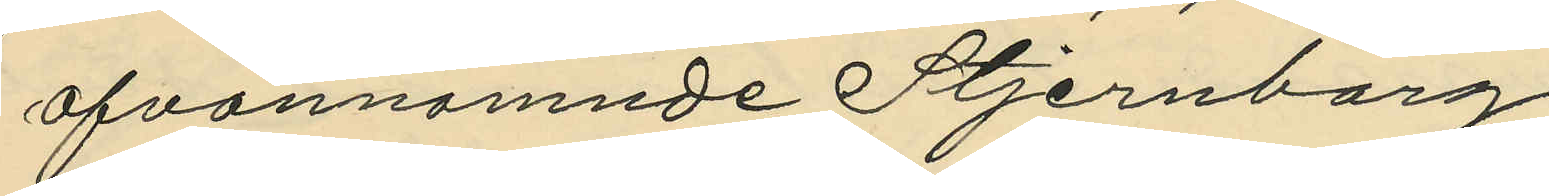ofvannamnde Stjernborg.
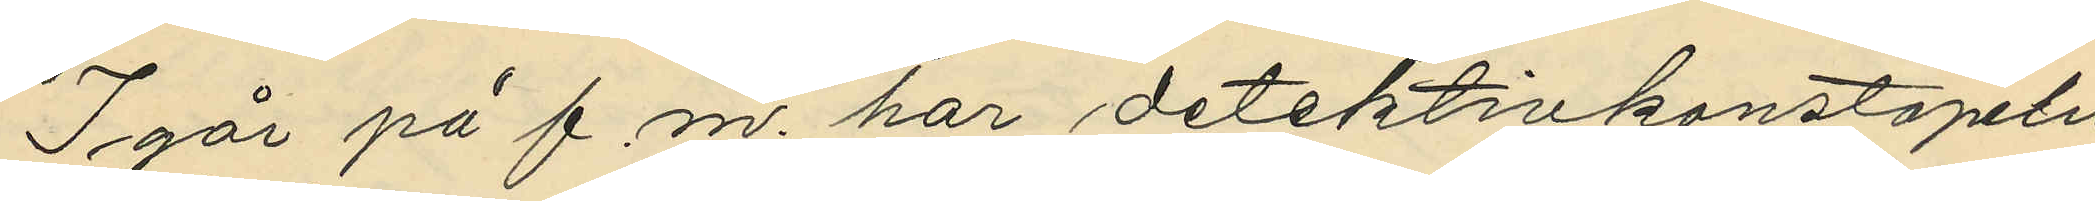I går på f. m. har detektivkonstapeln
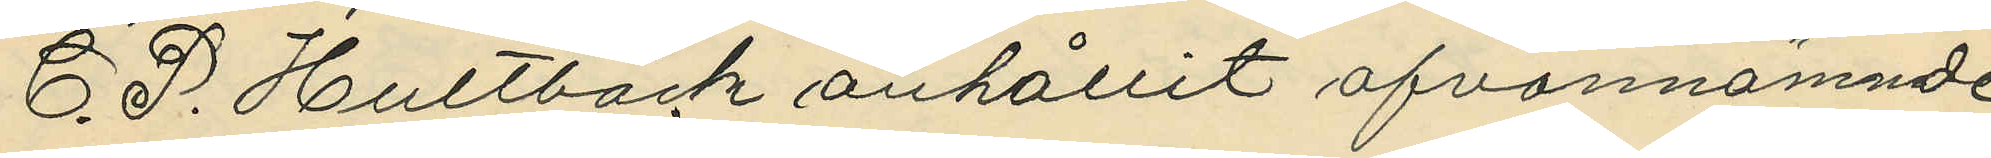C. P. Hultbäck anhållit ofvannämnde
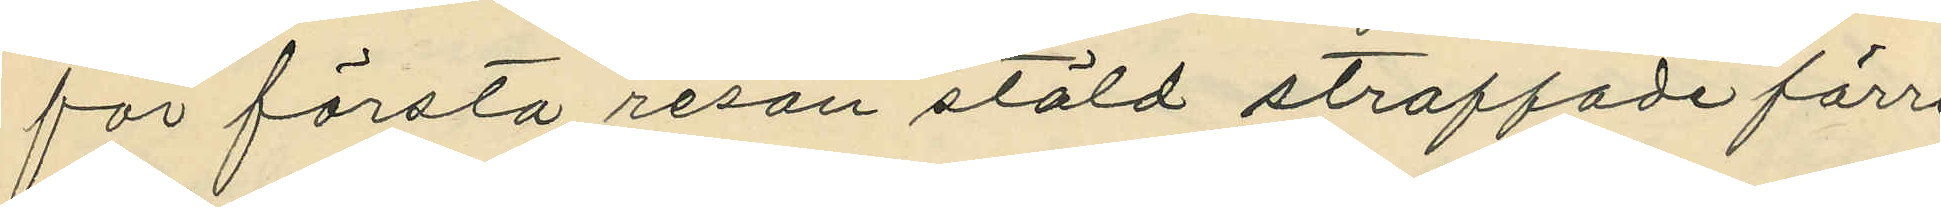för första resan stöld straffade förre
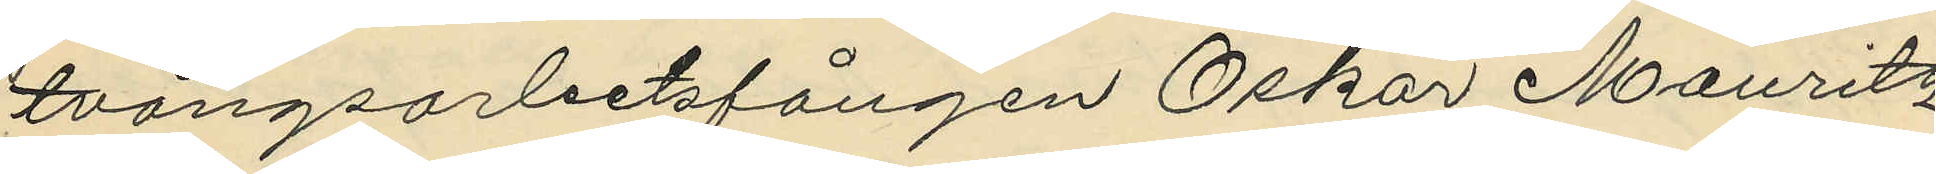tvångsarbetsfången Oskar Mauritz
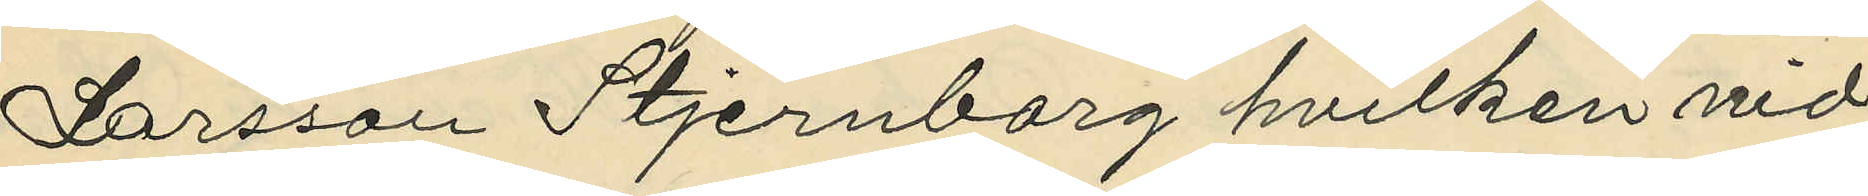Larsson Stjernborg hvilken vid
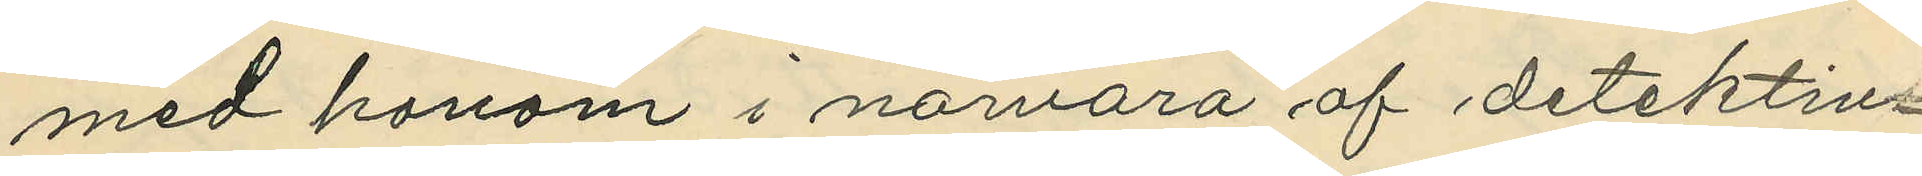med honom i närvaro af detektiv¬
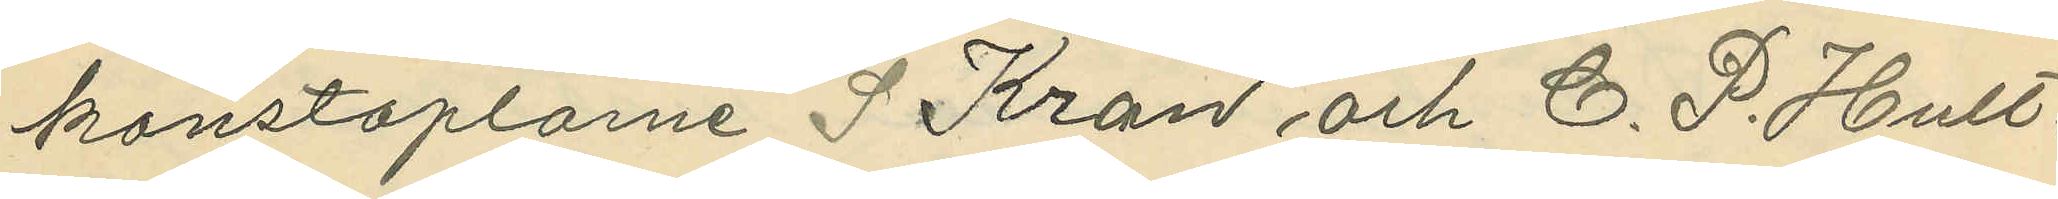konstaplarne S Kron och C. P. Hult¬
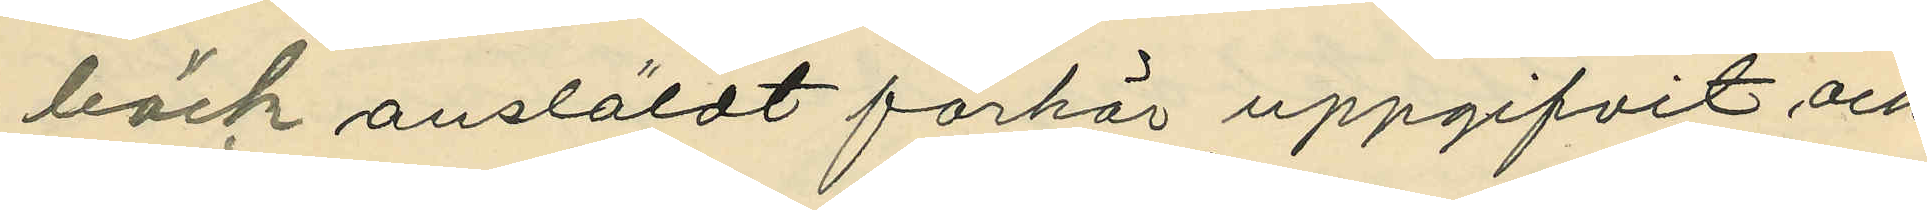bäck ansläldt förhör uppgifvit och
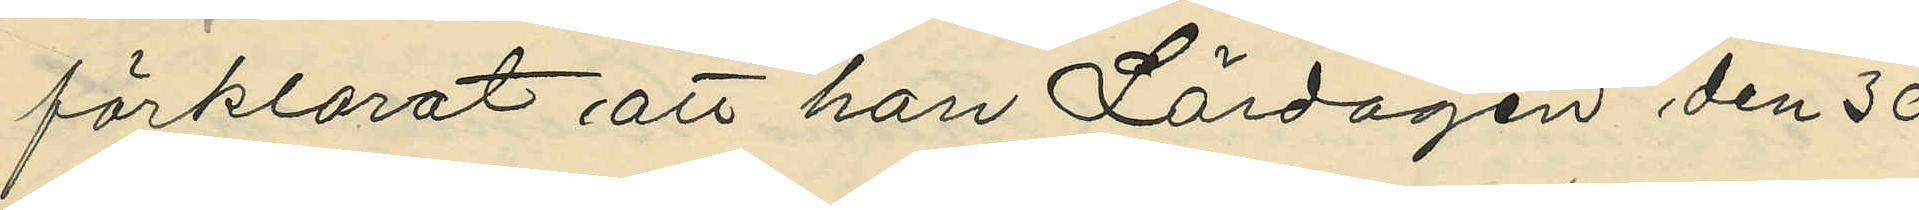förklarat att han Lördagen den 30
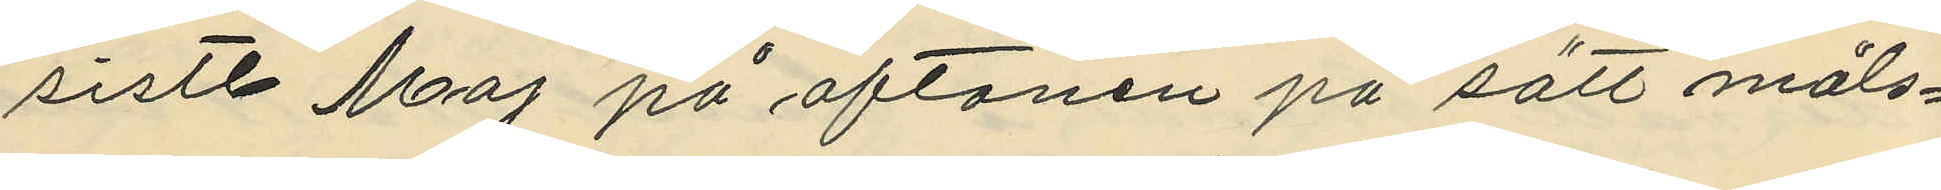sistl. Maj på aftonen på sätt måls¬
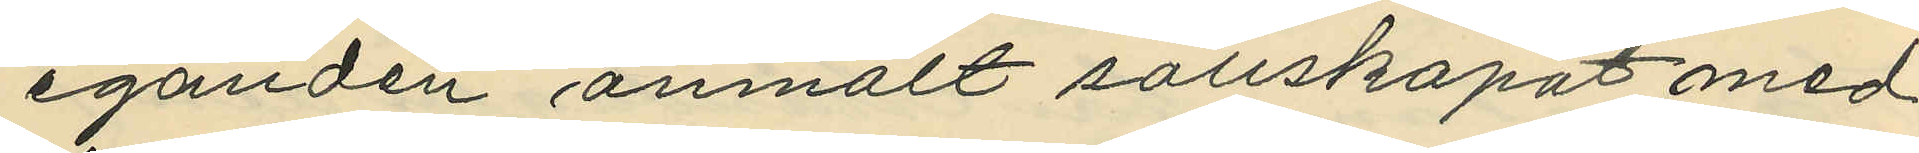eganden anmält sällskapat med
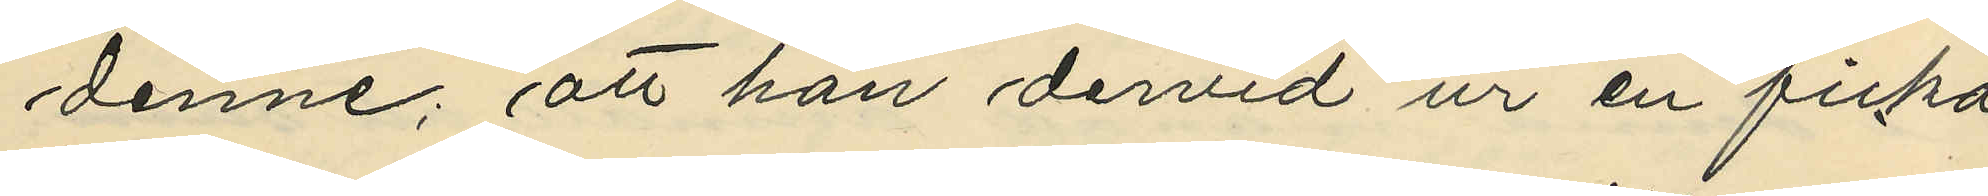denne; att han dervid ur en ficka
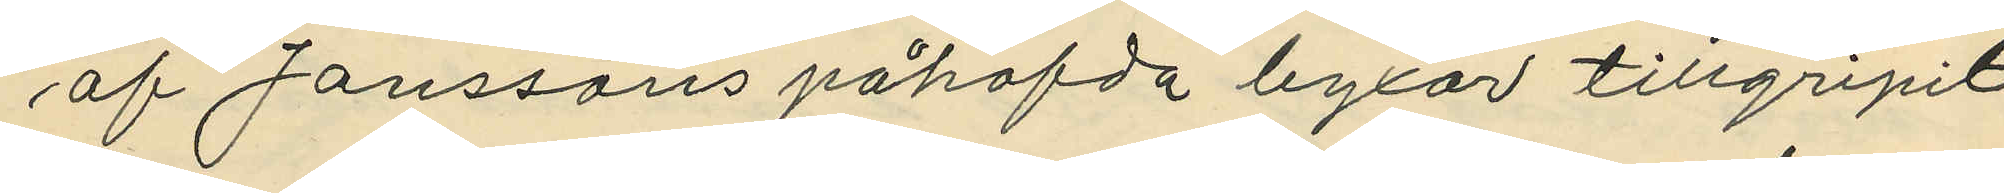af Janssons påhafda byxor tillgripit
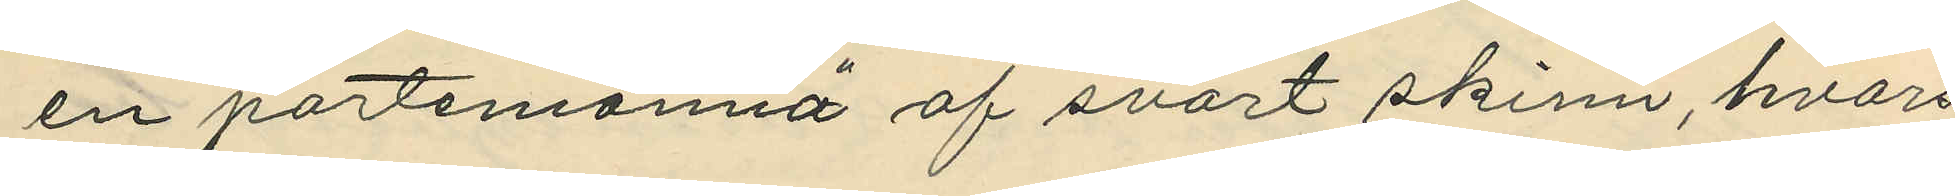en portemonnä af svart skinn, hvars
